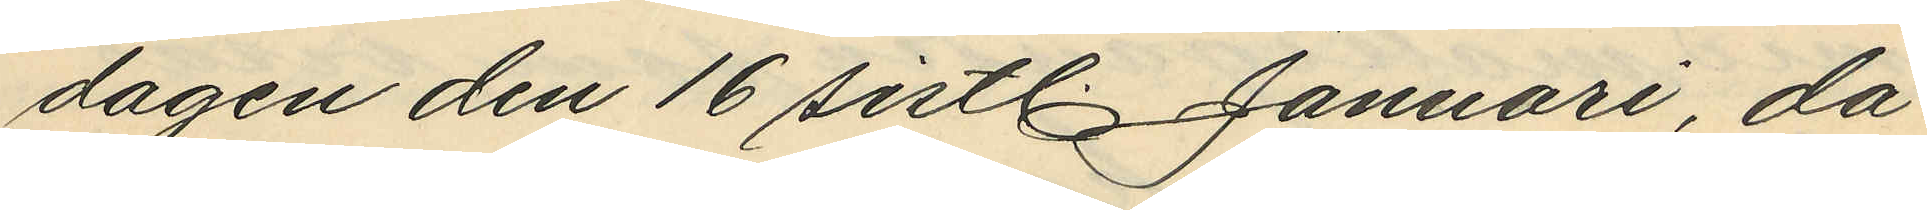dagen den 16 sistl. Januari, då
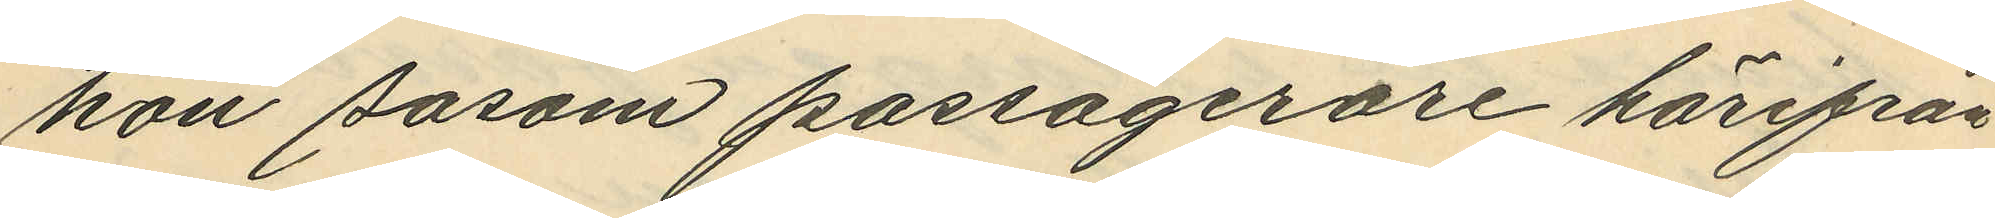hon sasom passagerare härifrån
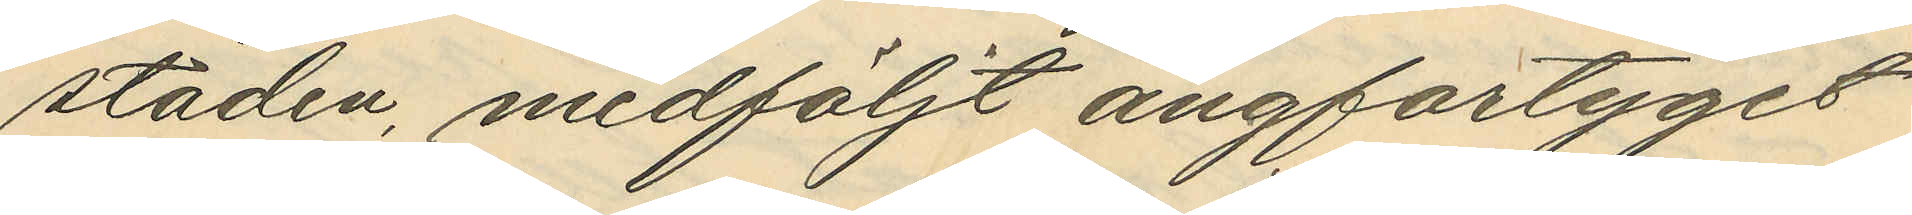staden medföljt ångfartyget
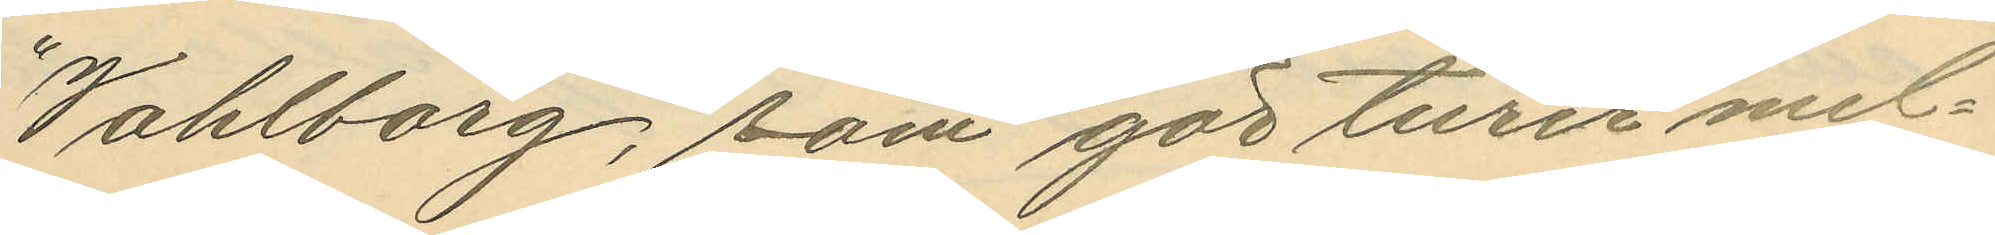"Wahlborg", som gör turer mel¬
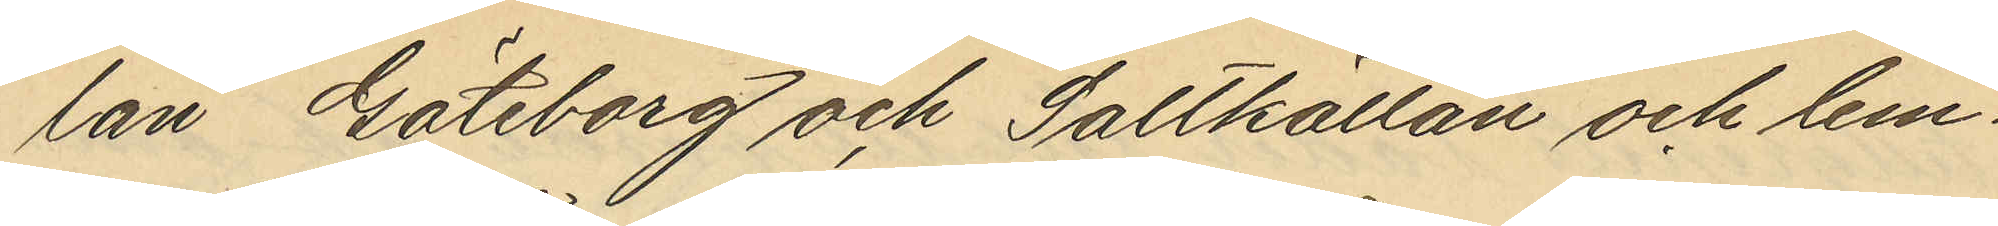lan Göteborg och Saltkällan och lem¬
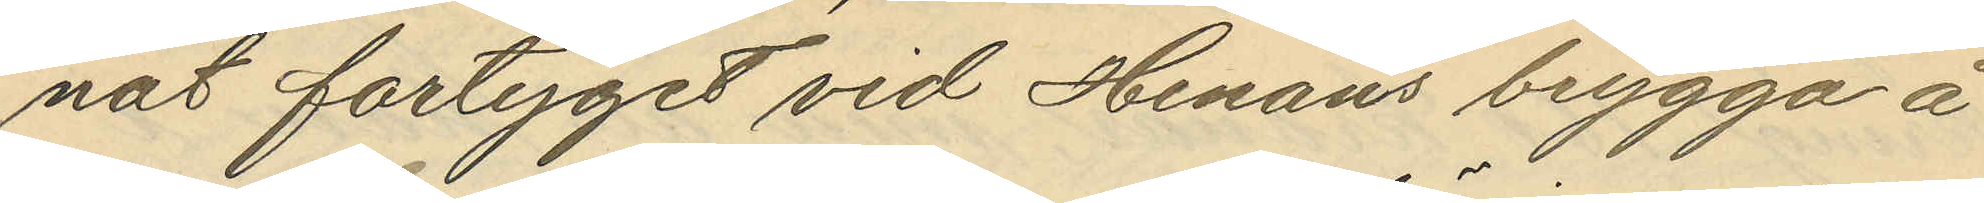nat fartyget vid Henåns brygga å
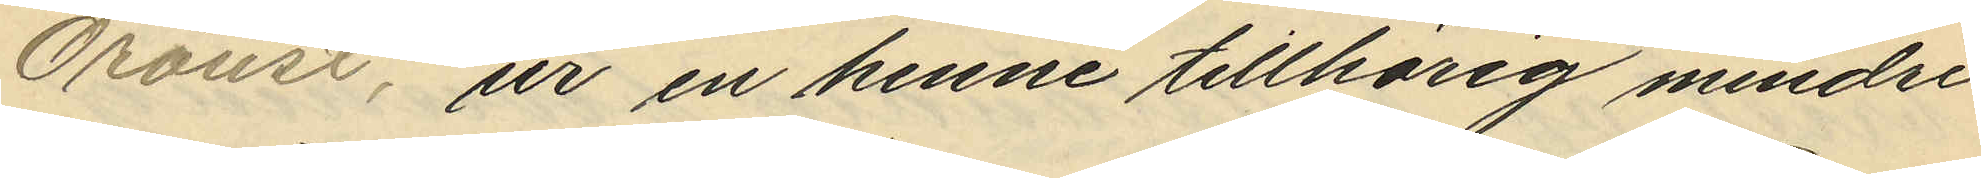Oroust, ur en henne tillhörig mindre
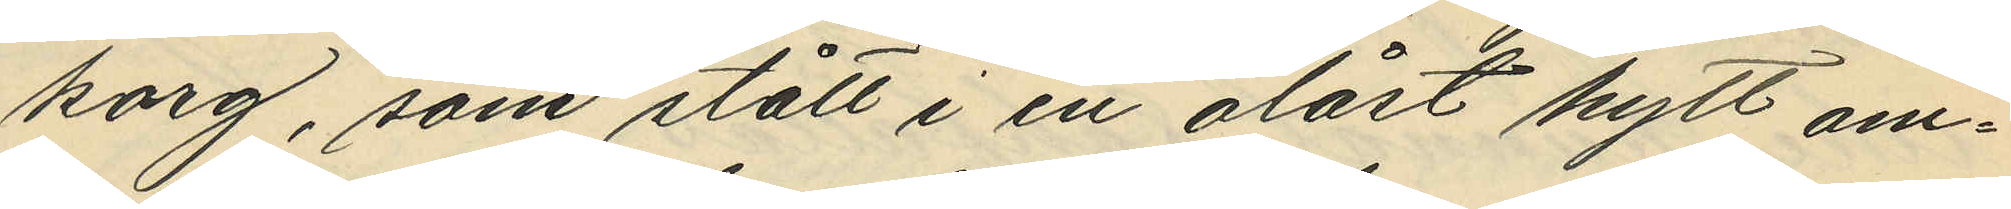korg, som stått i en olåst hytt om¬
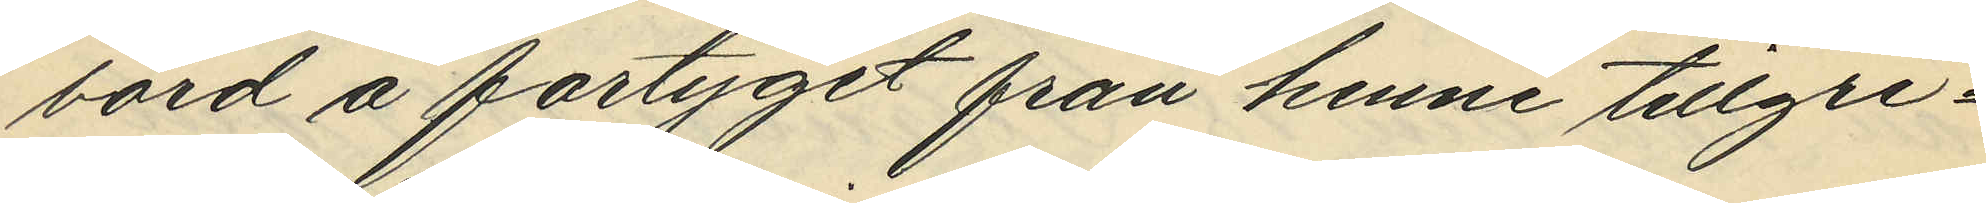bord å fartyget från henne tillgri¬
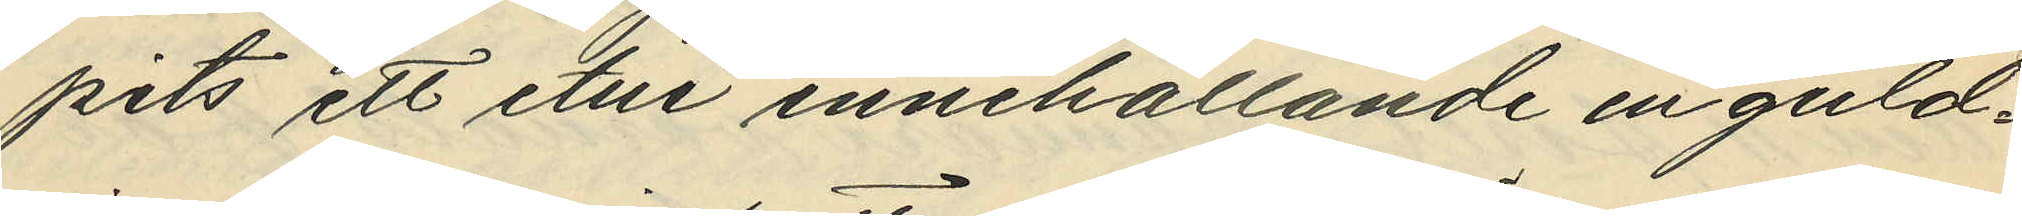pits ett etui innehållande en guld¬
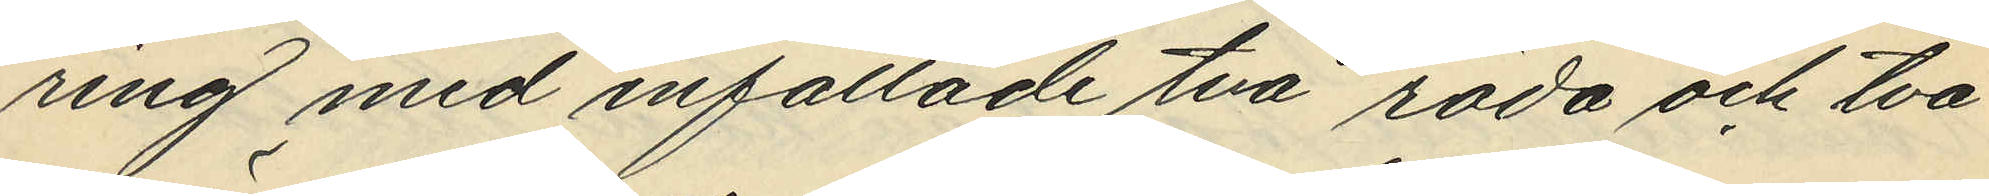ring med infattade två röda och två
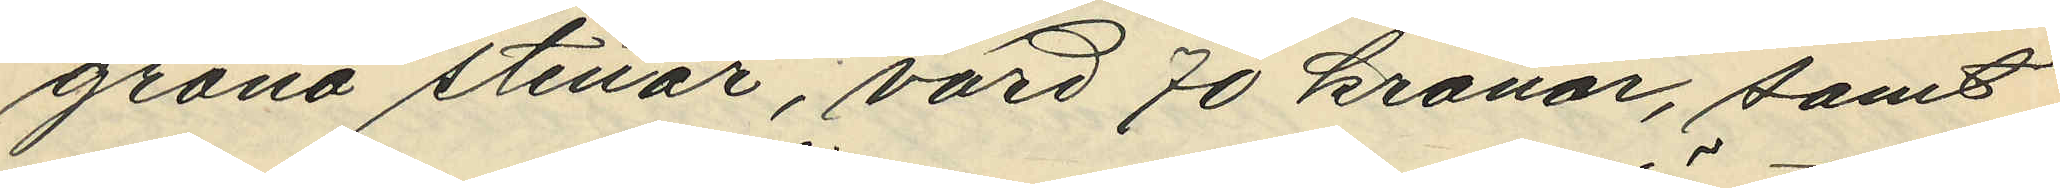gröna stenar, värd 70 kronor, samt
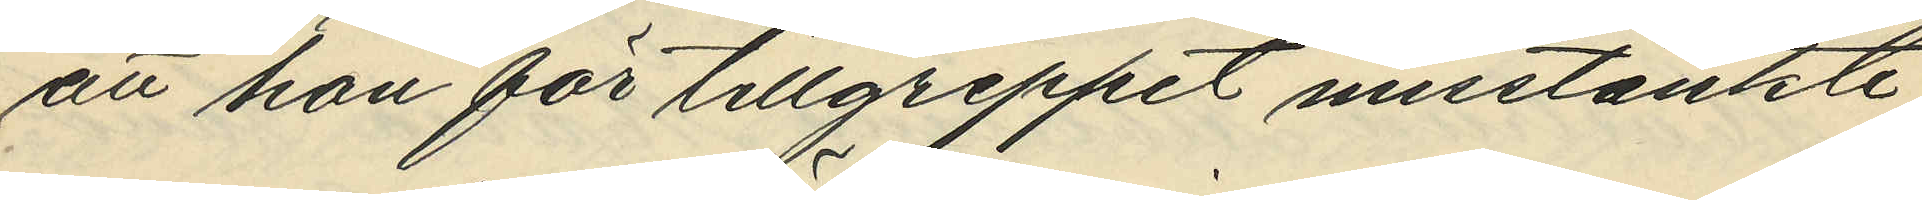att hon för tillgreppet misstänkte
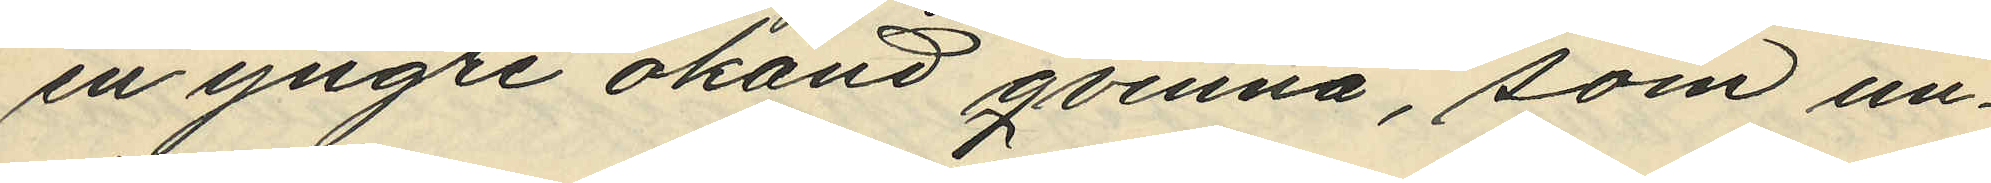en yngre okänd qvinna, som un¬
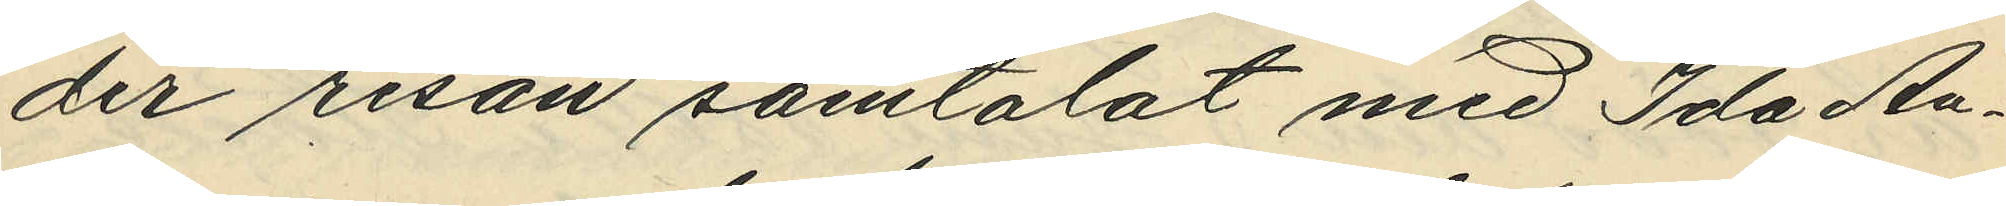der resan samtalat med Ida An¬
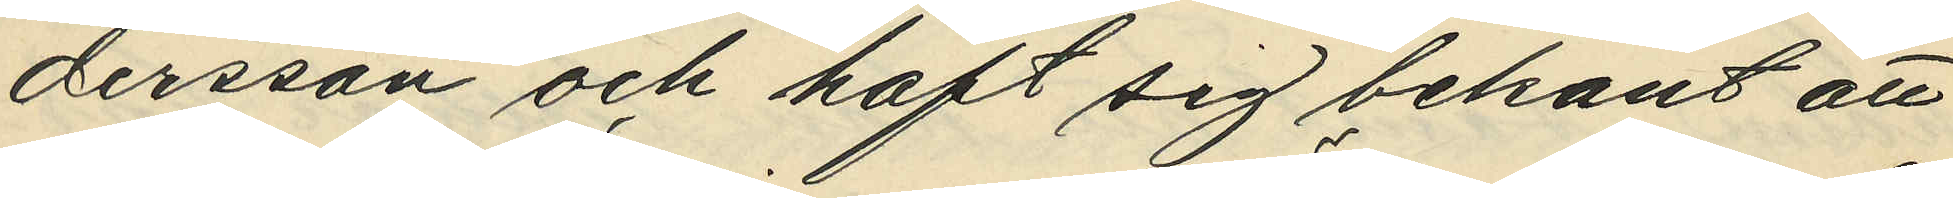dersson och haft sig bekant att
